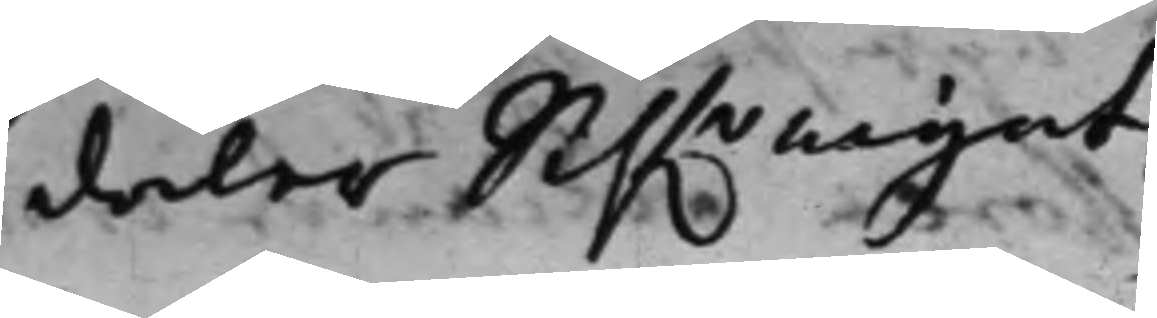daler Silfwrrmynt
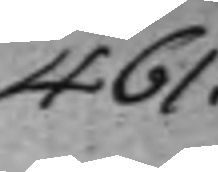461.
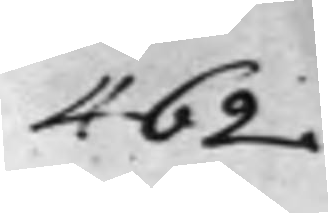462.
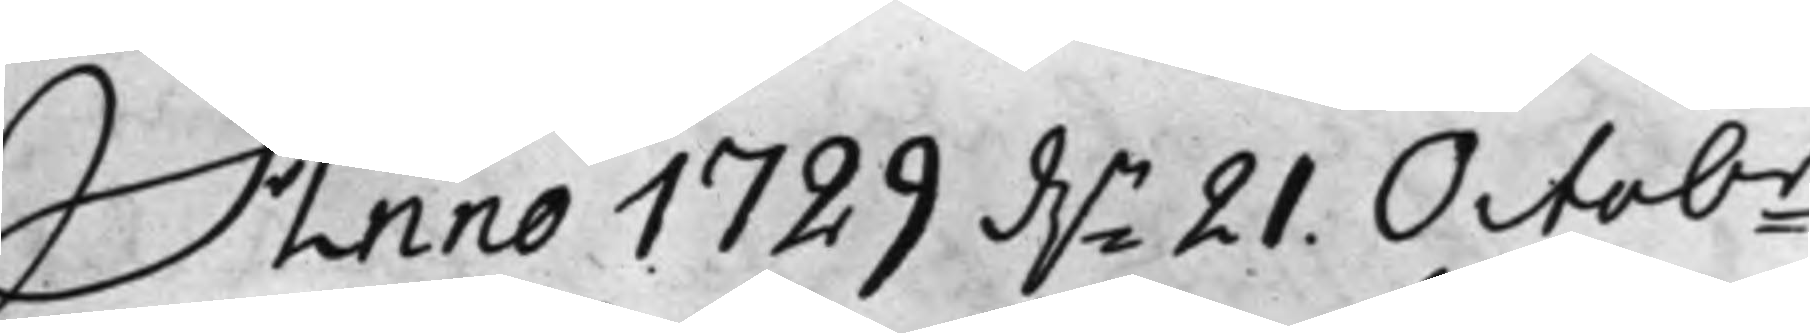Anno 1729 d.n 21. Octobr.
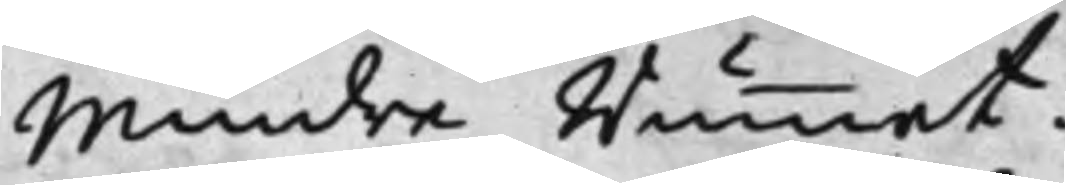Mindre Rummet.
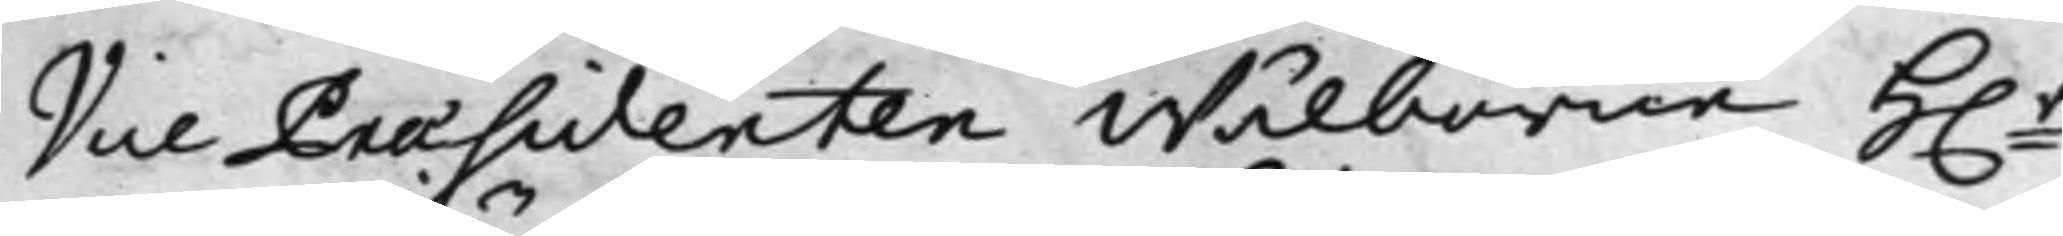Vice Praesidenten Wälborne H.r
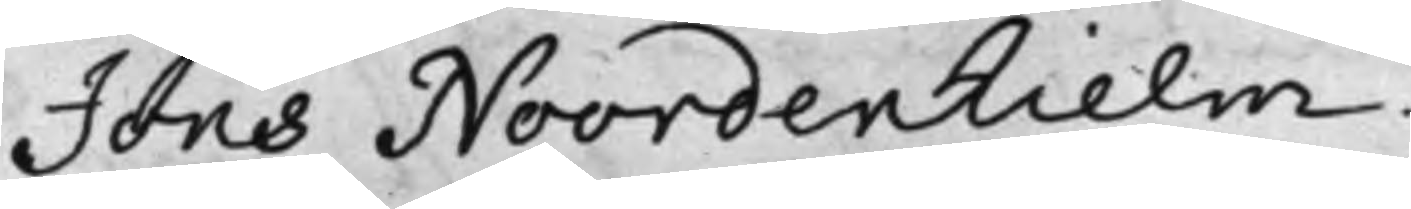Jöns Noordenhielm.
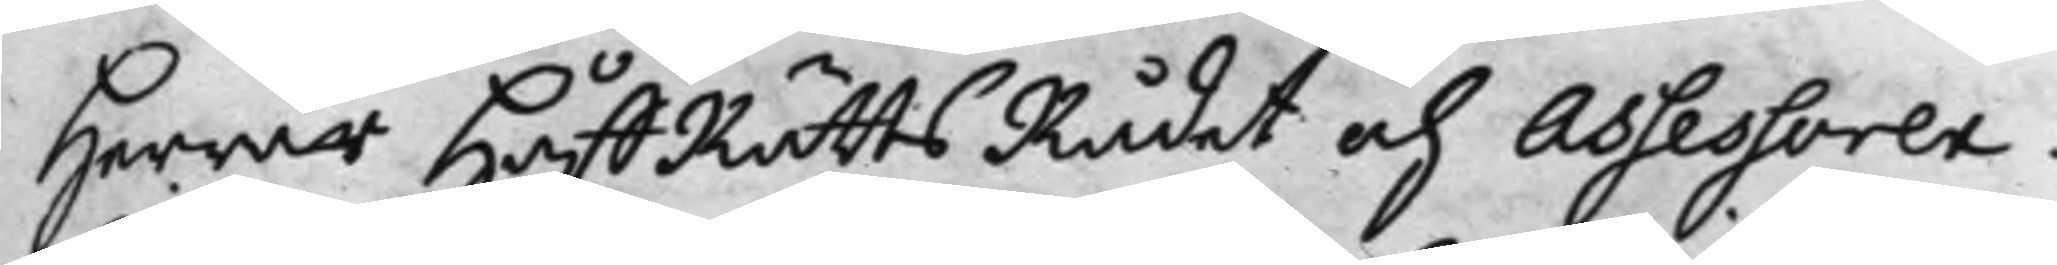Herrar HåffRättsRådet och Assessorer.
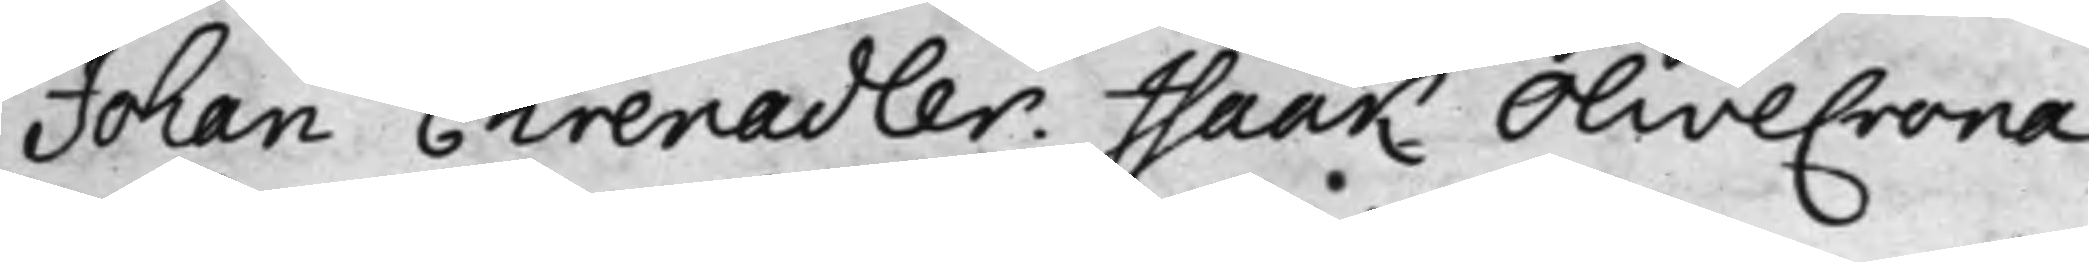Johan Ehrenadler. Isaak Olivecrona.
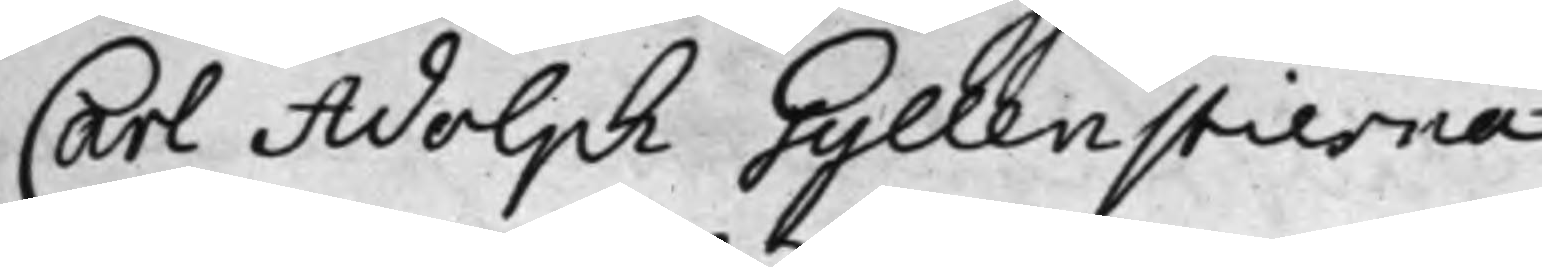Carl Adolph Gyllenstierna.
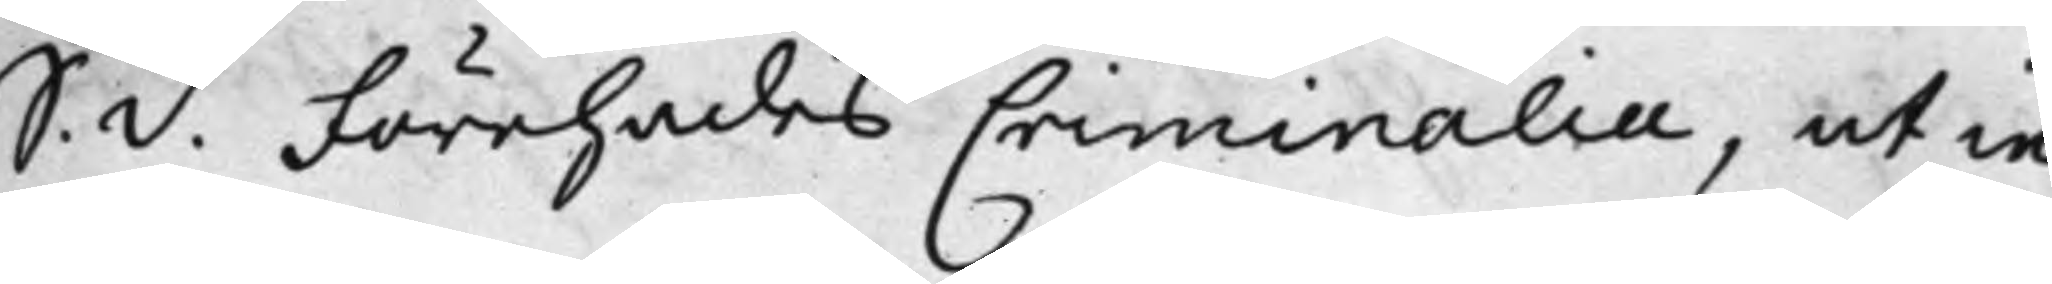S. d. Förehades Criminalia, ut in
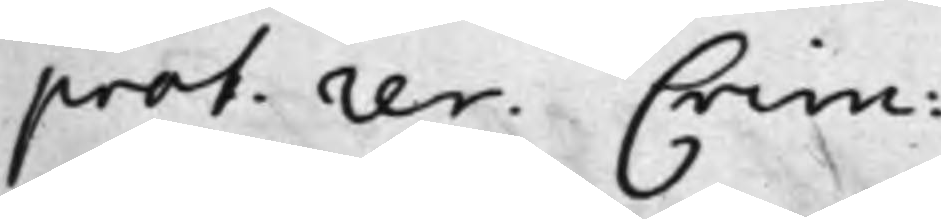prot: res. Crim:
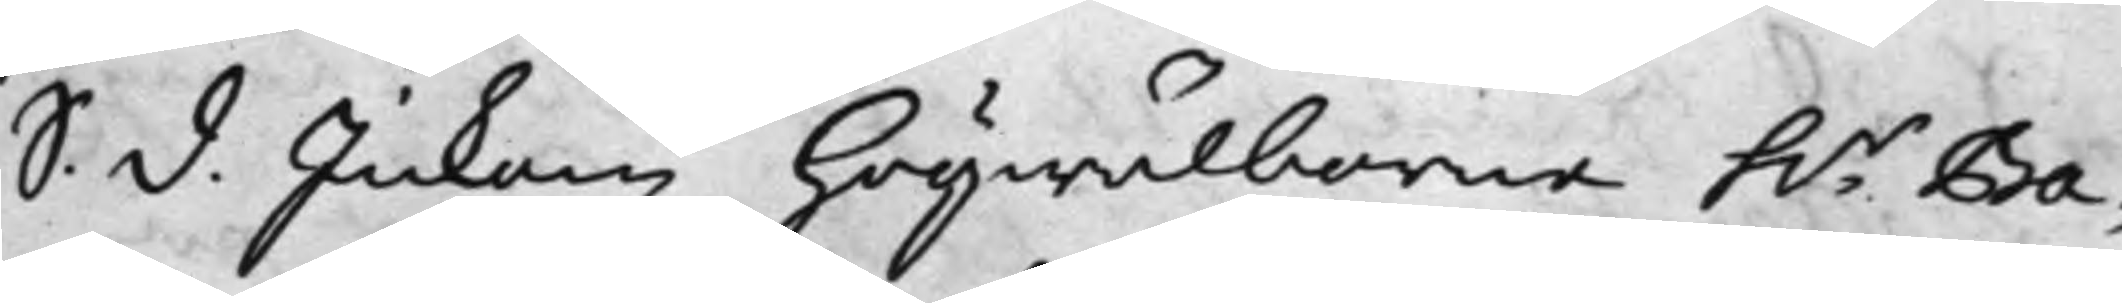S: d. Inkom Högwälborne h.r Ba¬
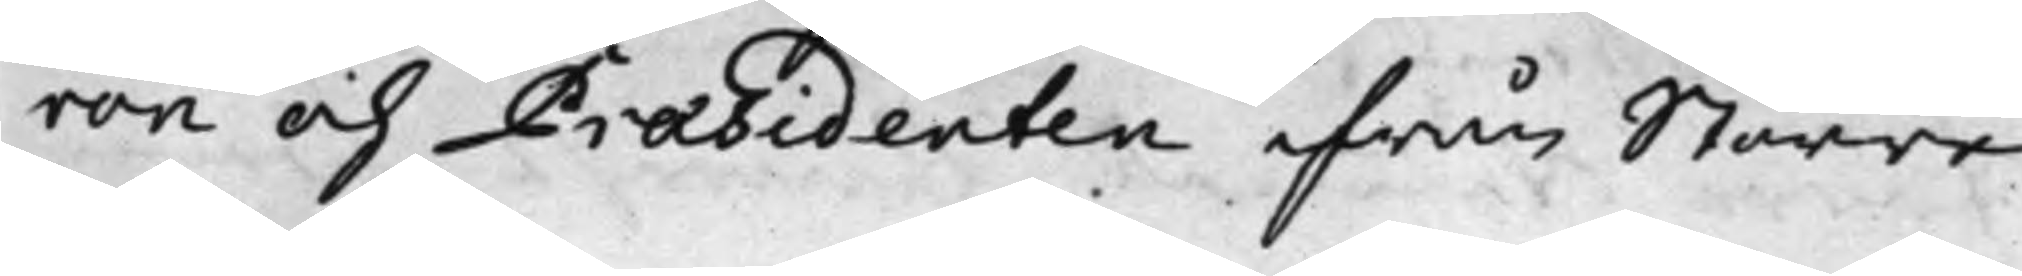ron och Præsidenten ifrån Större
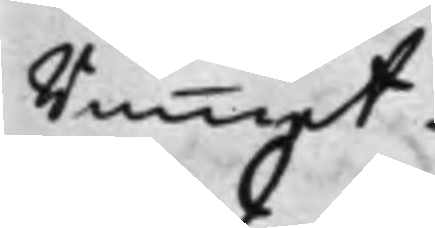Rummet.
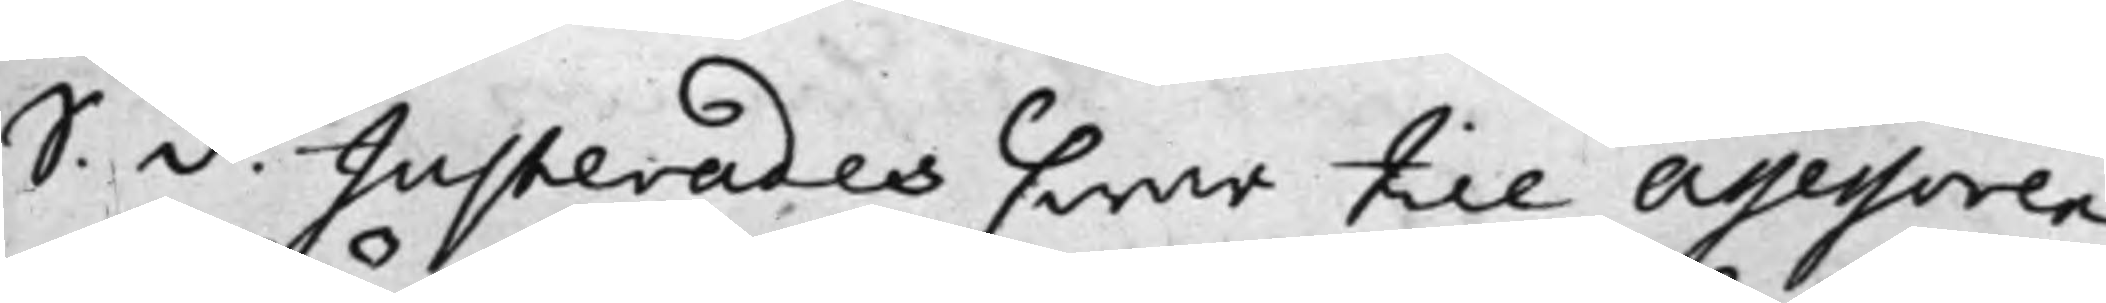S. d. Justerades, hwar till Assessoren
